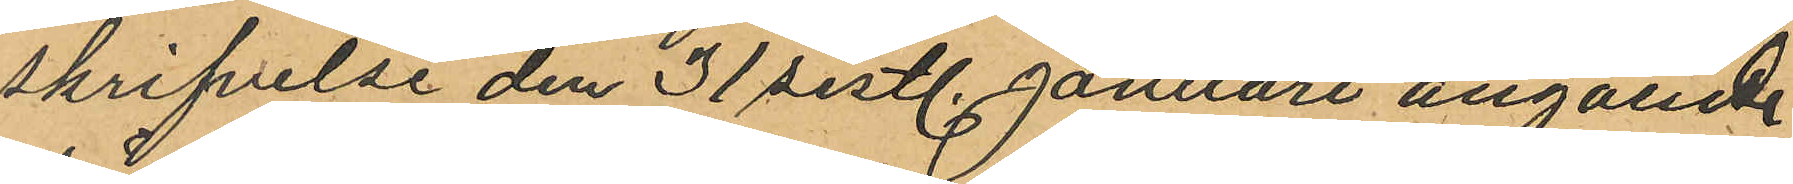skrifvelse den 31 sistl. Januari angående
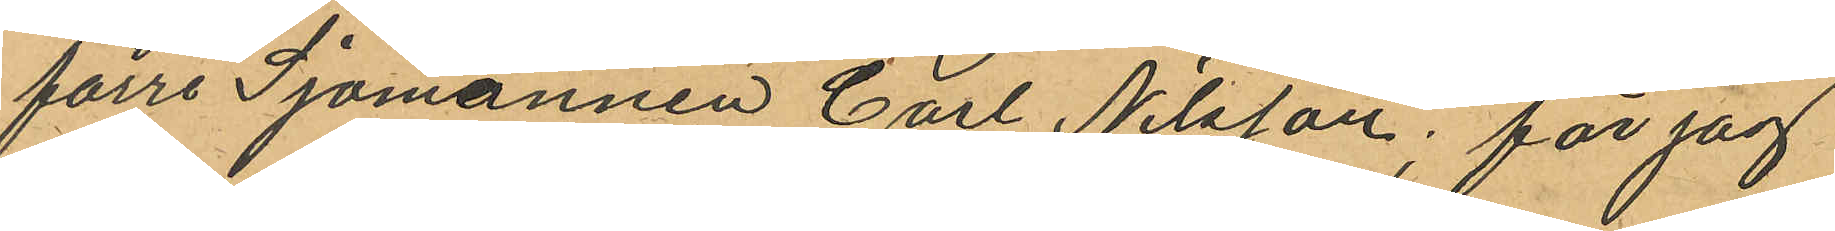förre Sjömannen Carl Nilsson; får jag
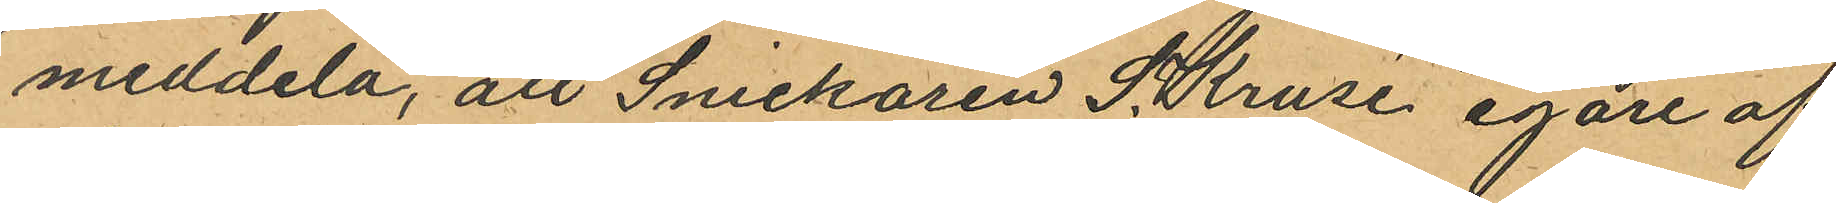meddela, att Snickaren S. Kruse egare af
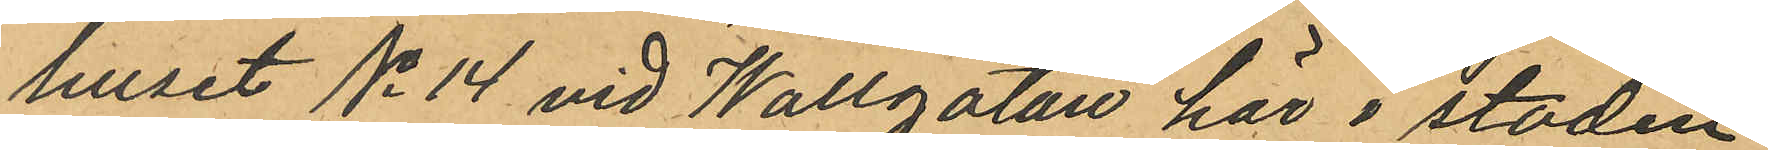huset No 14 vid Wallgatan här i staden
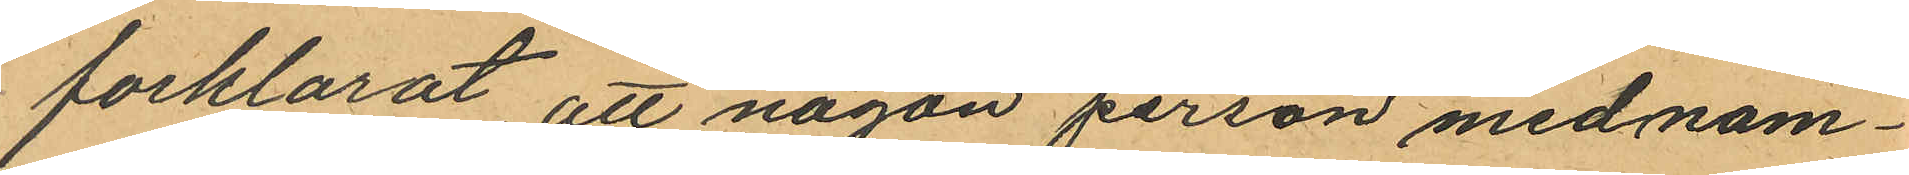forklarat att någon person med nam¬
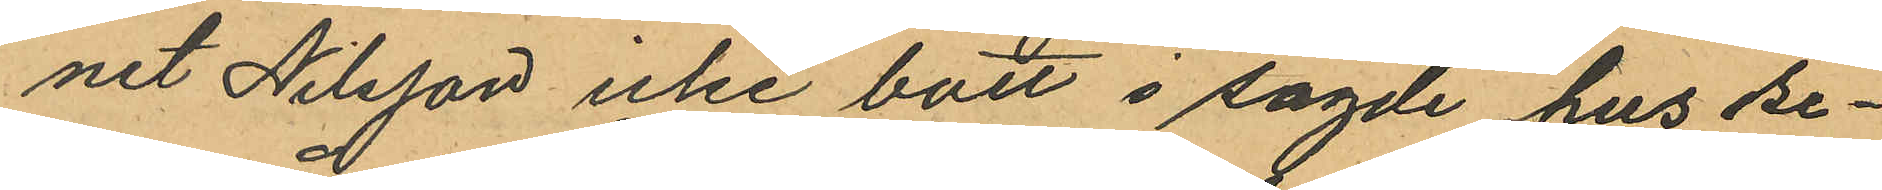net Nilsson icke bott i sagde hus se¬
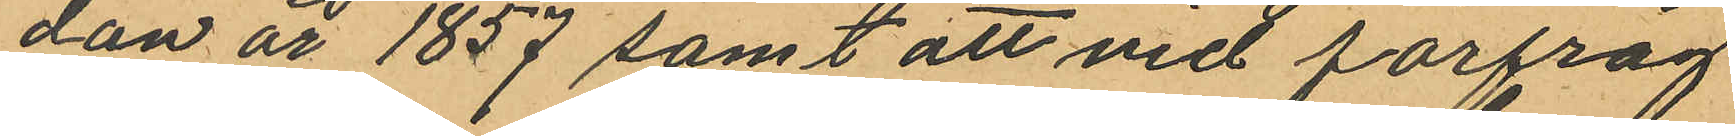dan år 1857 samt att vid förfråg¬
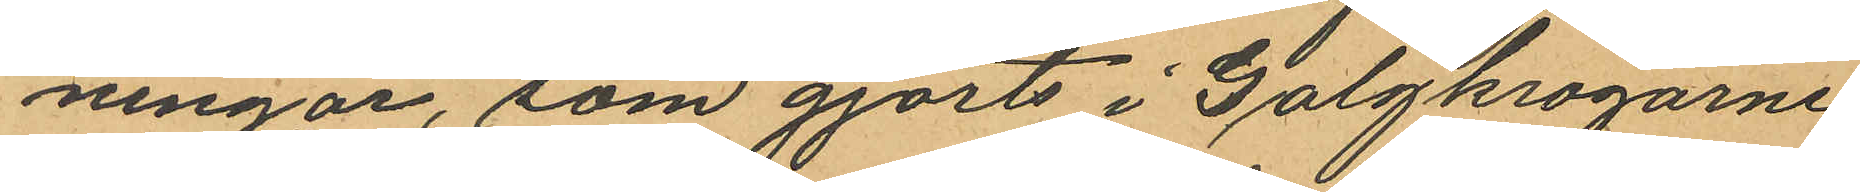ningar, som gjorts i Galgkrogarne
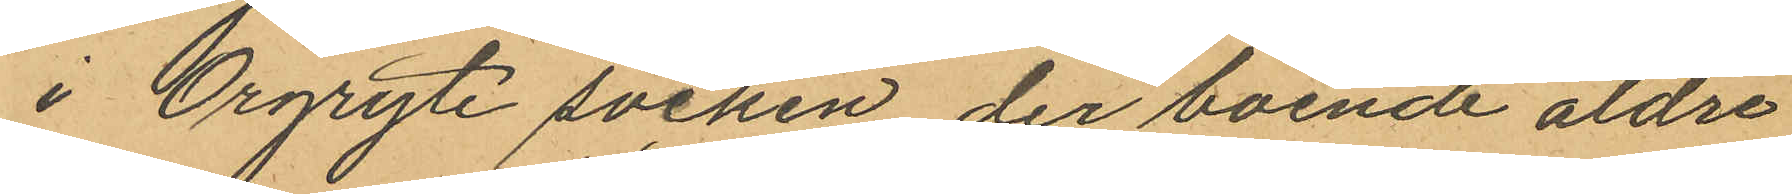i Örgryte socken, der boende äldre
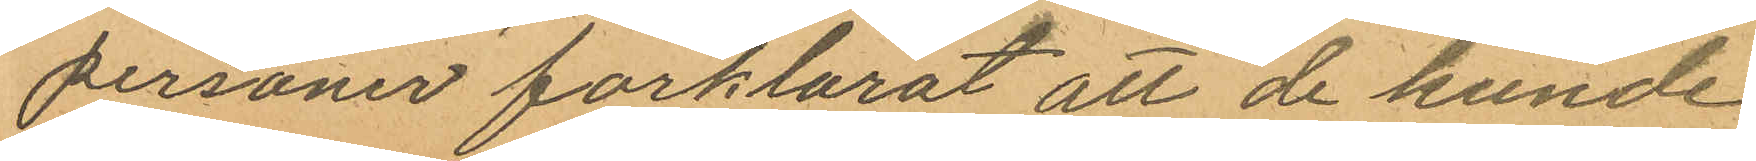personer förklarat att de kunde
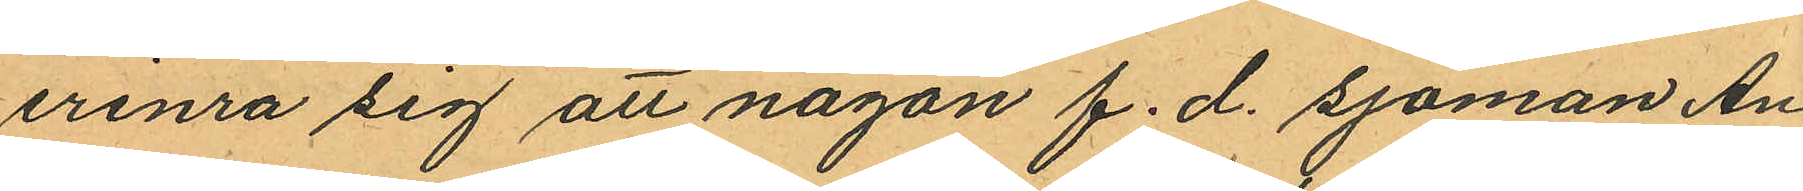erinra sig att någon f. d. sjöman An¬
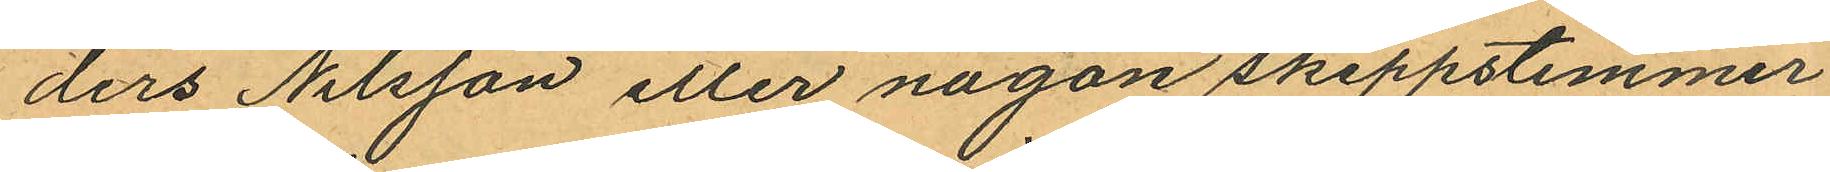ders Nilsson eller någon skeppstimmer¬
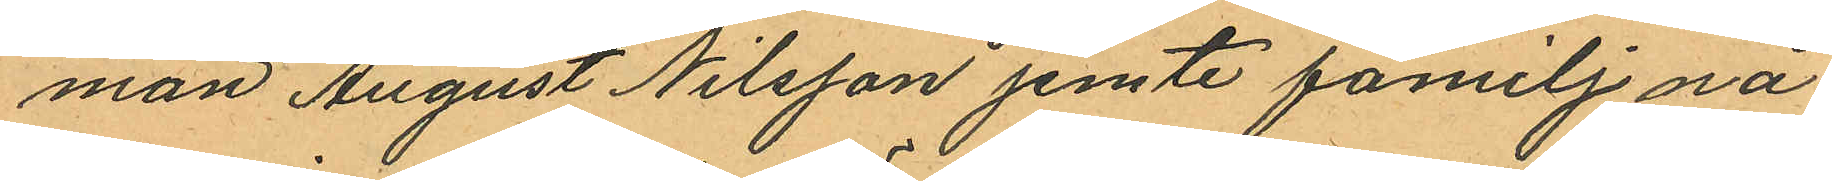man August Nilsson jemte familj nå¬
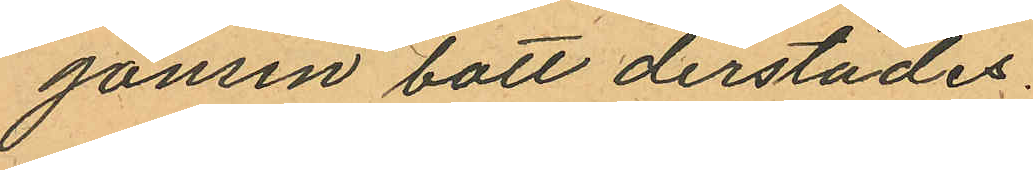gonsin bott derstädes.
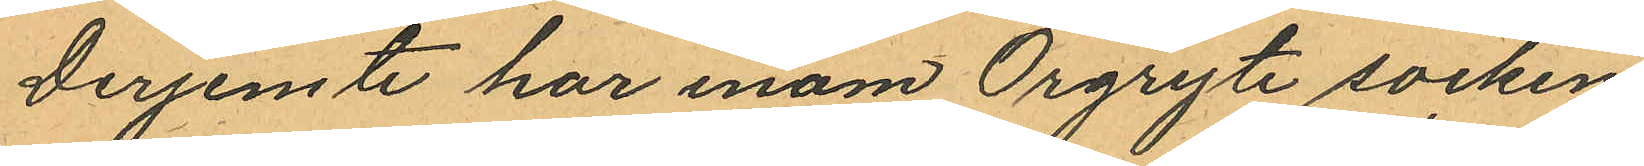Derjemte har inom Örgryte socken
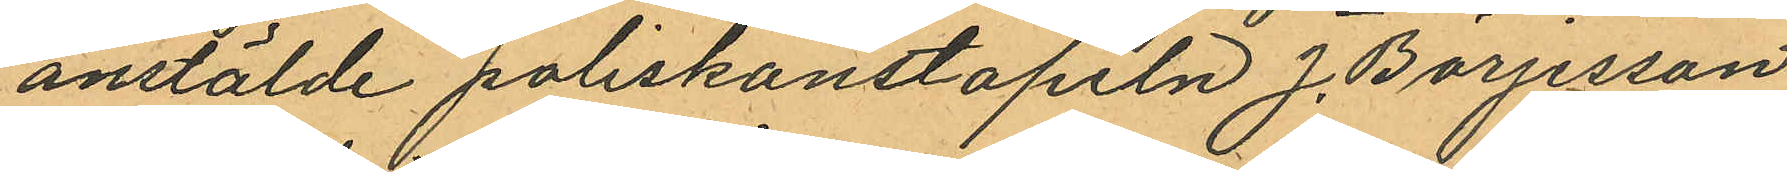anstälde poliskonstapeln J. Börjesson
